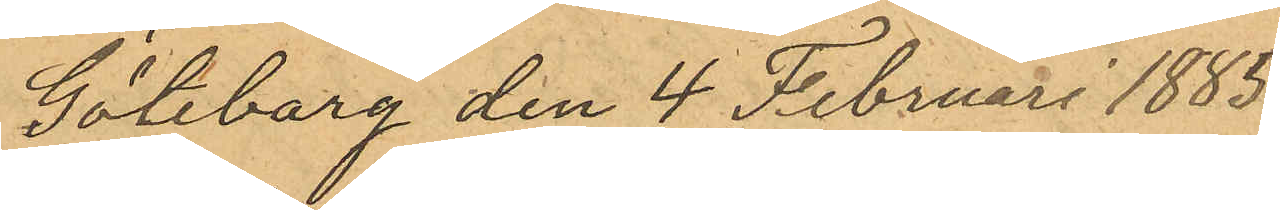Göteborg den 4 Februari 1885.
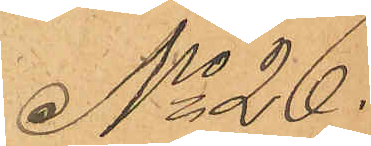No 26.
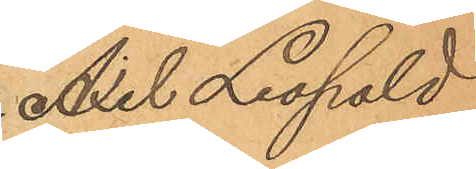Axel Leopold
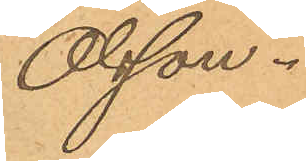Olsson.
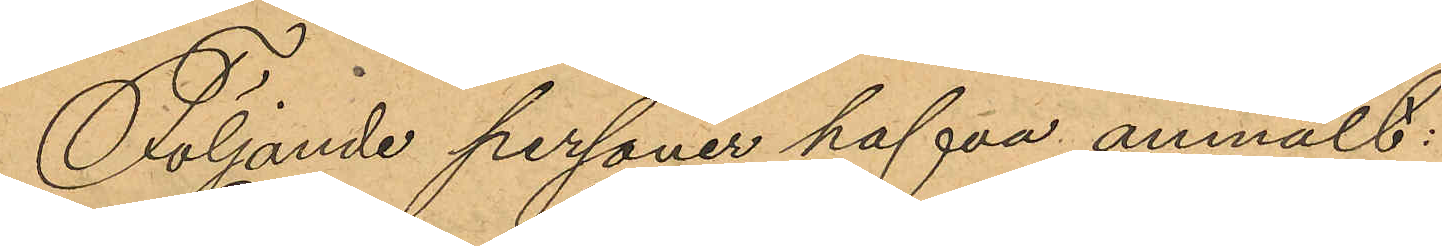Följande personer hafva anmält:
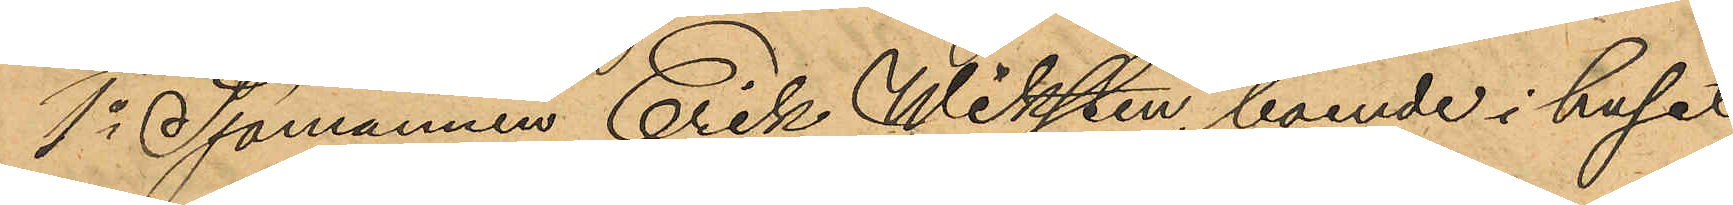1o Sjömannen Erik Wiksten, boende i huset
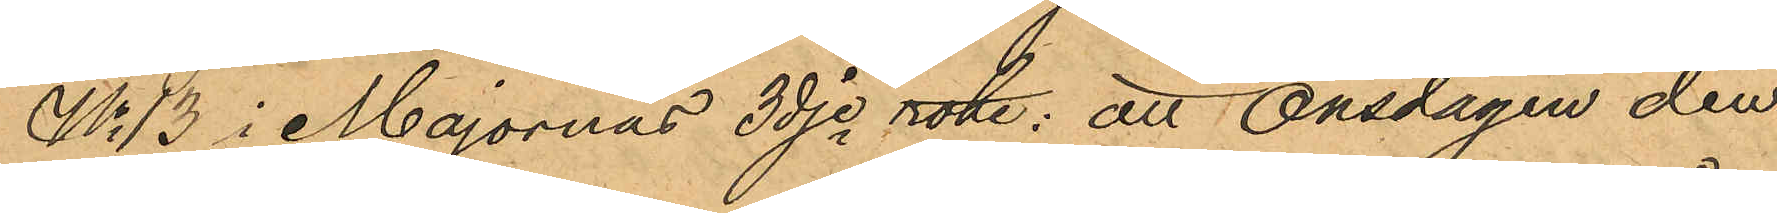No 13 i Majornas 3dje rote; att Onsdagen den
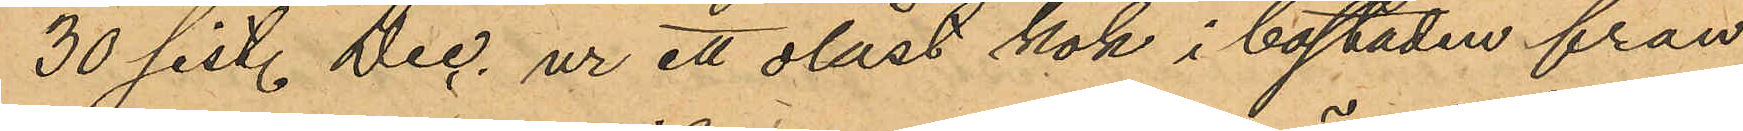30 sist. Dec. ur ett olåst kök i bostaden från
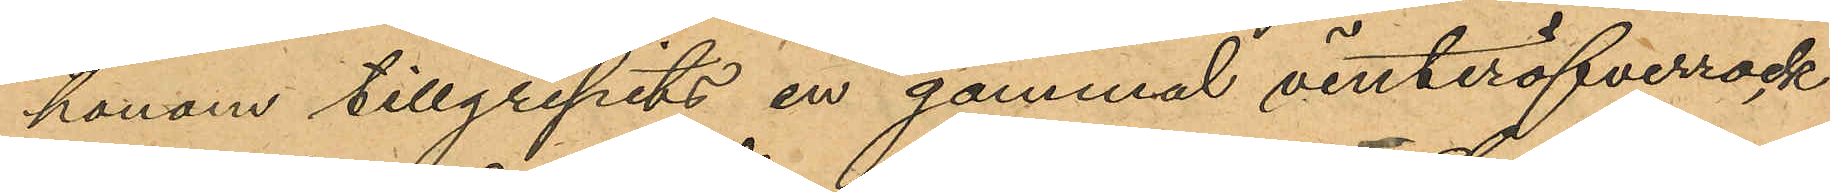honom tillgripits en gammal vinteröfverrock
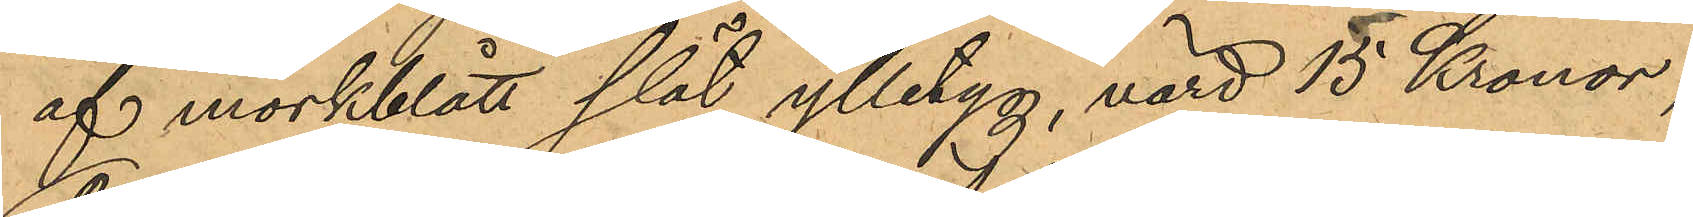af mörkblått slät ylletyg, värd 15 Kronor;
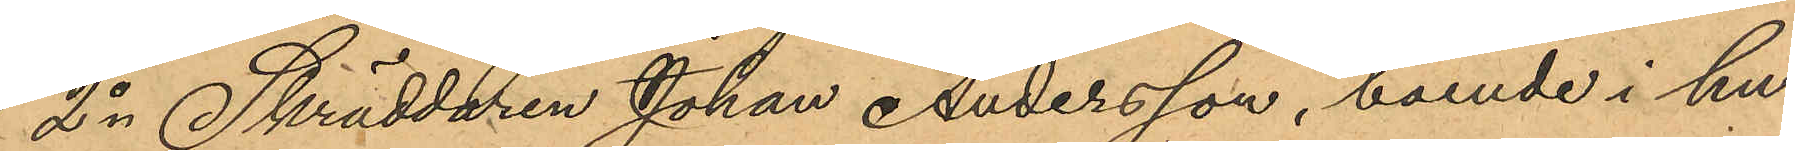2o Skräddaren Johan Andersson, boende i hu¬
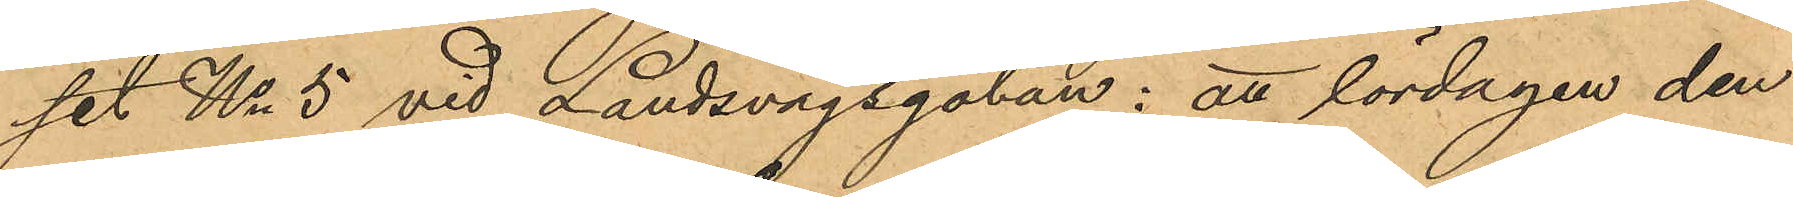set No 5 vid Landsvägsgatan: att lördagen den
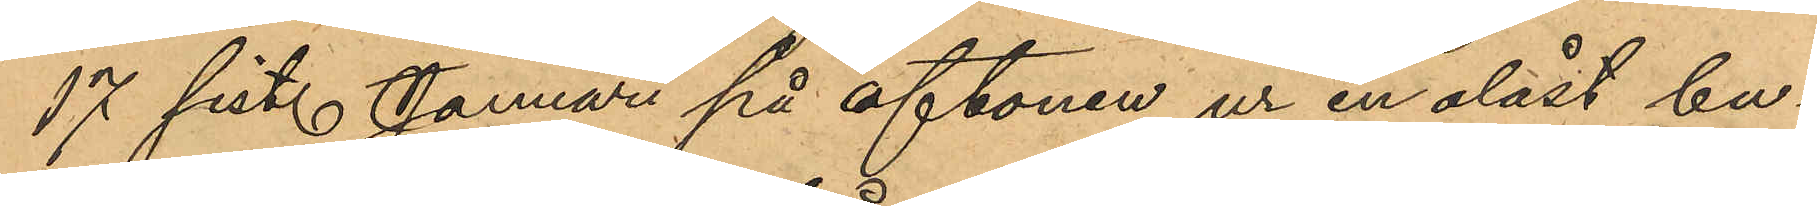17 sist. Januari på aftonen ur en olåst bu¬
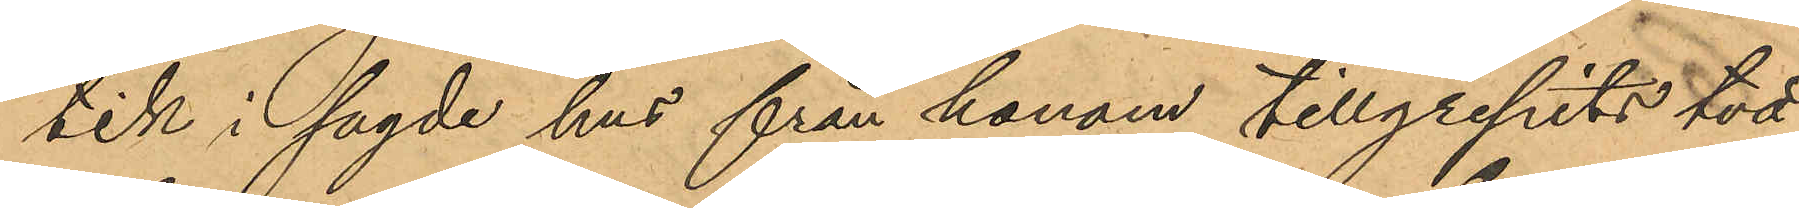tik i sagde hus från honom tillgripits två
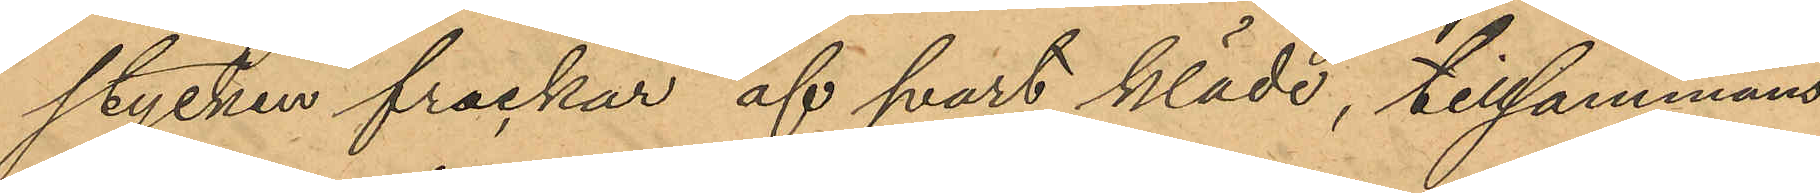stycken frackar af svart kläde, tillsammans
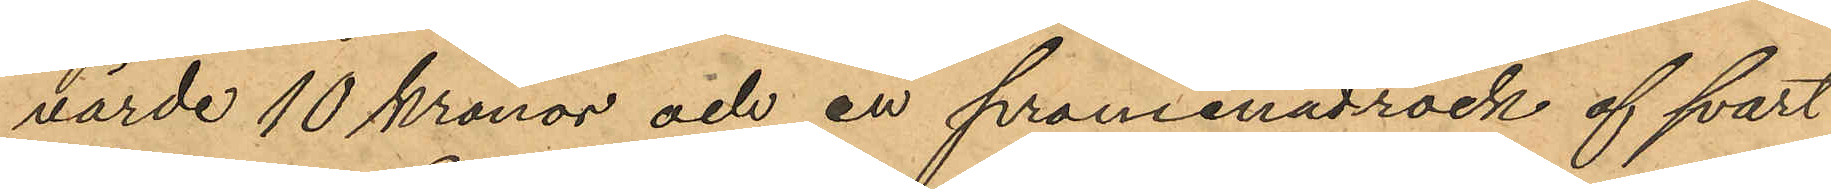värde 10 kronor och en promenadrock af svart
